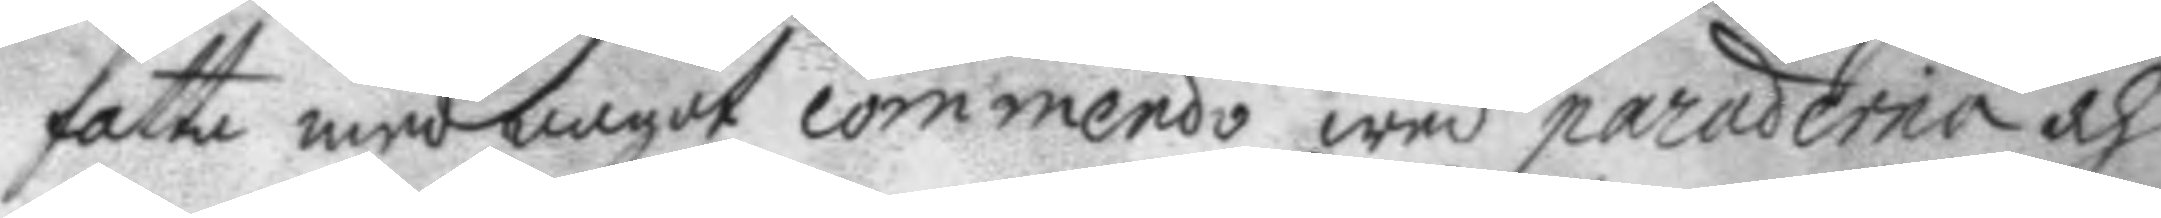fatta med något commendo wed paraderna och
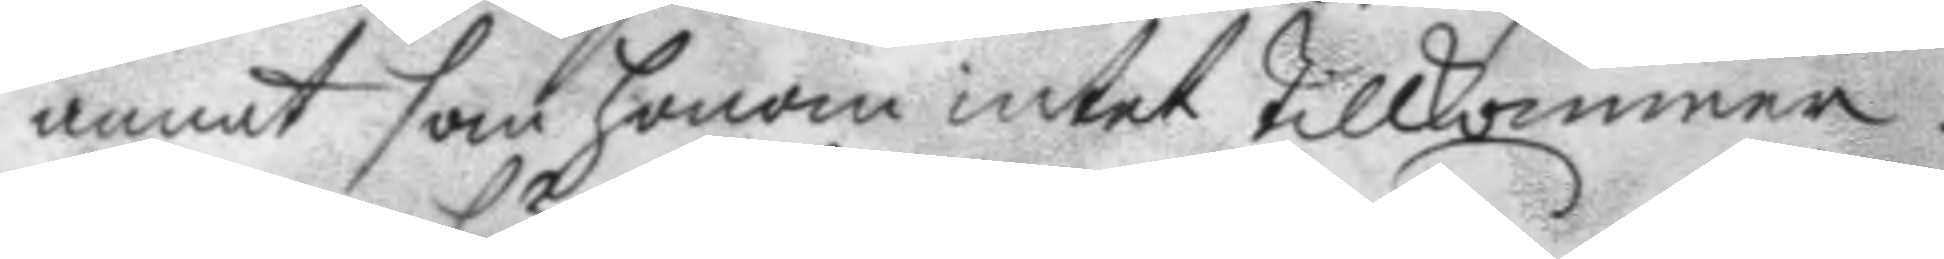annat som honom intet tillkommer.
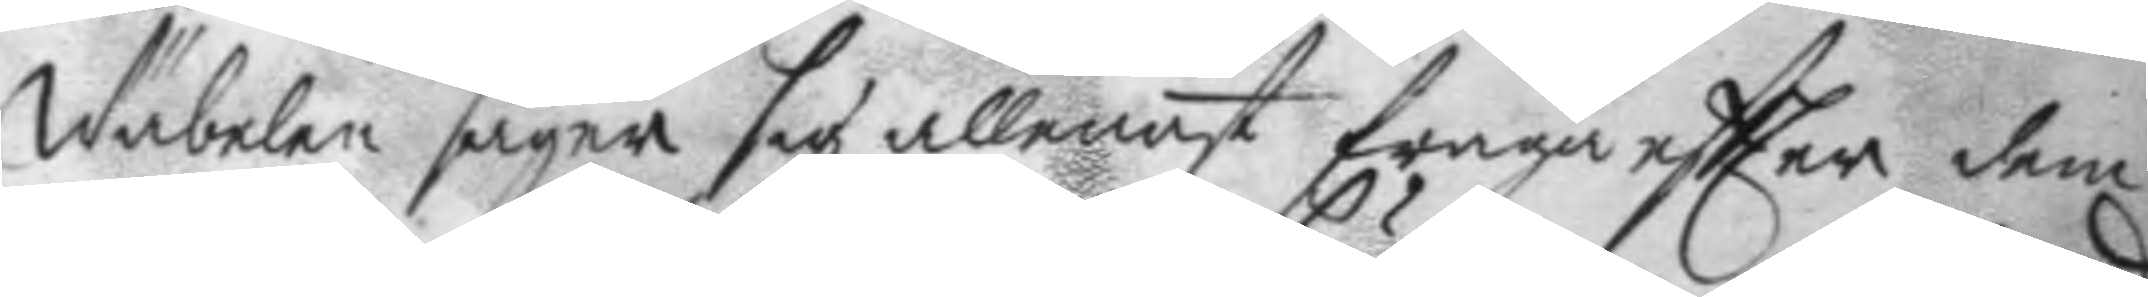Wäbelen säyer sig allenast fråga eftter dem
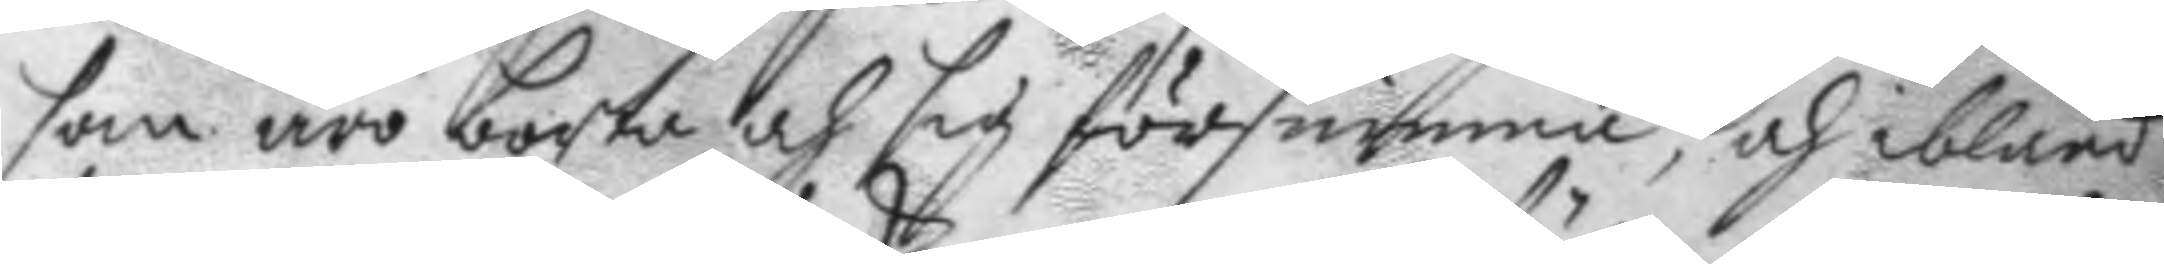som äro borta och sig försumma, och ibland
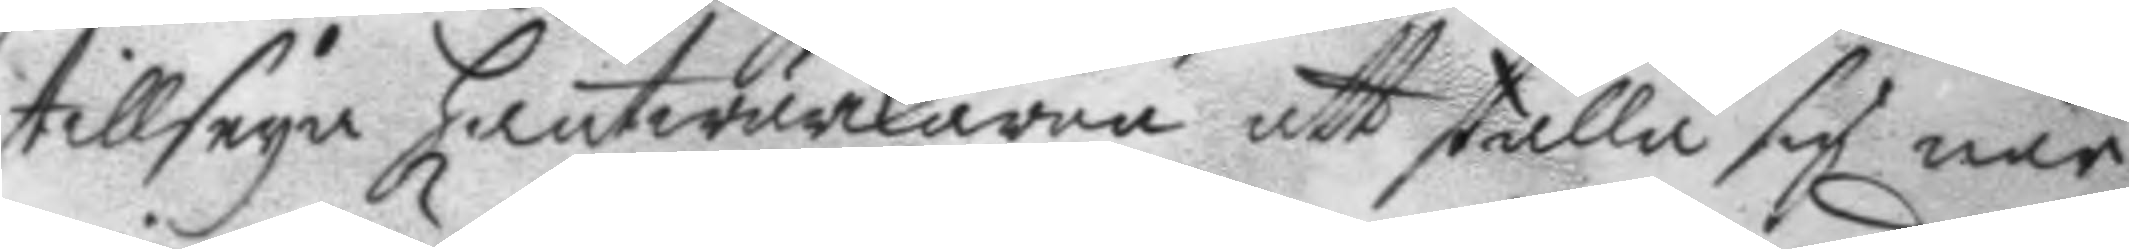tillseya hantwärckarna att ställa sig när
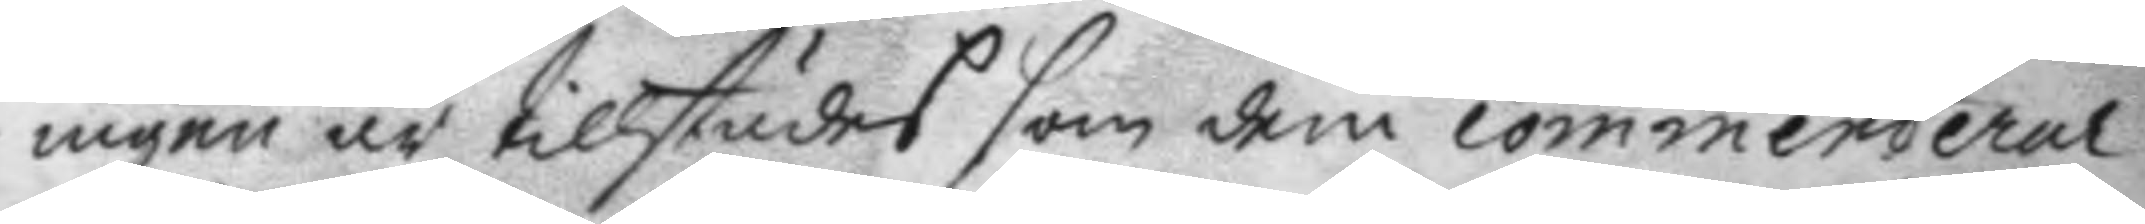ingen är tillstädes som dem commenderar.
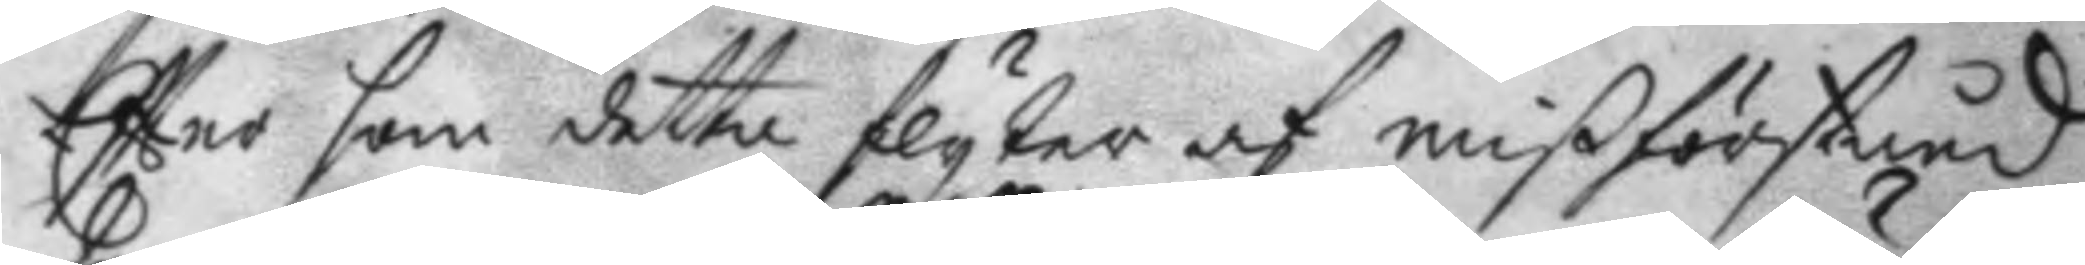Eftter som detta flyter af mißförstånd
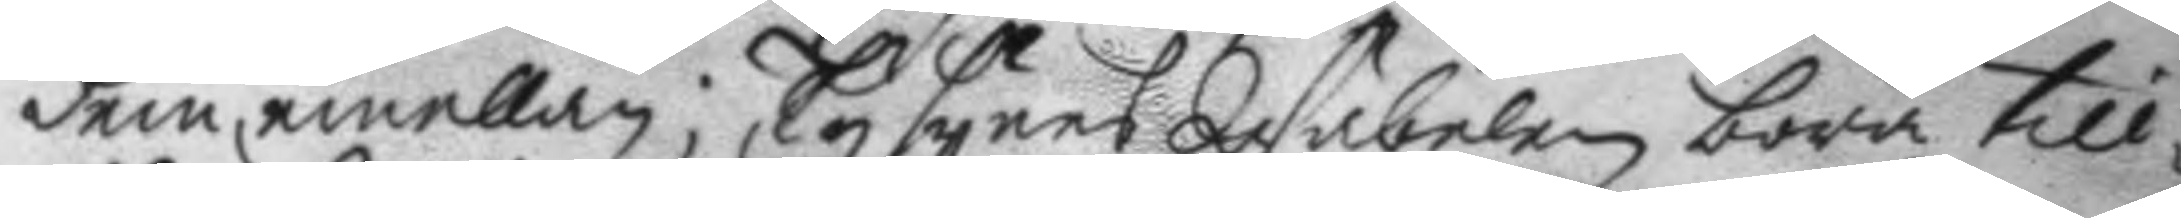dem emellan; Ty synes Wäbelen böra till¬
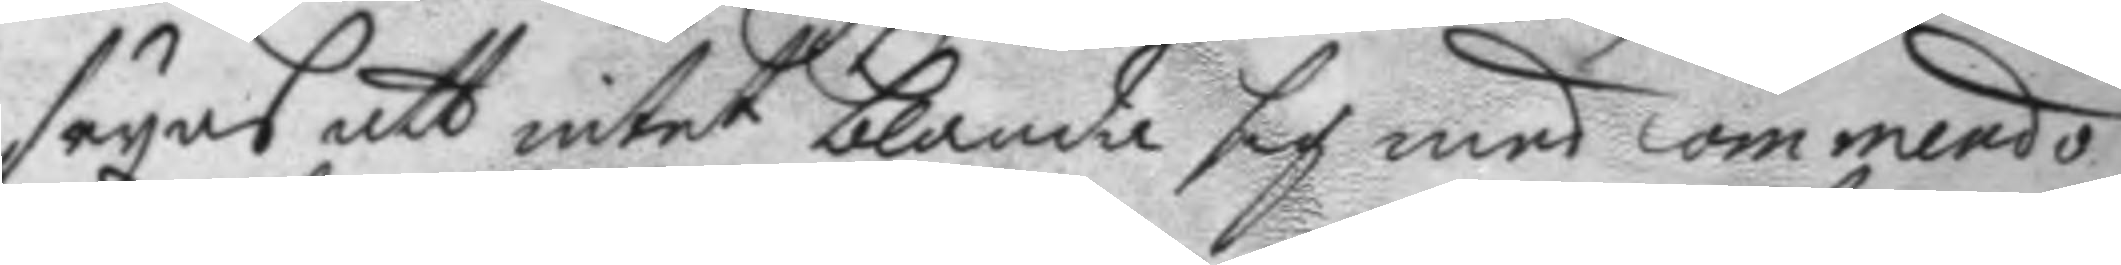seyas att intet blanda sig med commendo
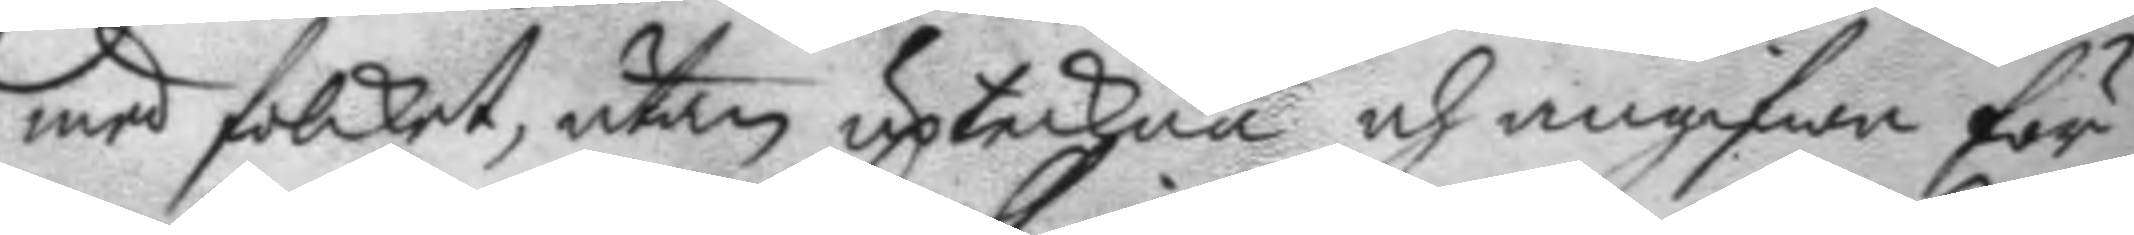med folcket, utan upteckna och angifwa för
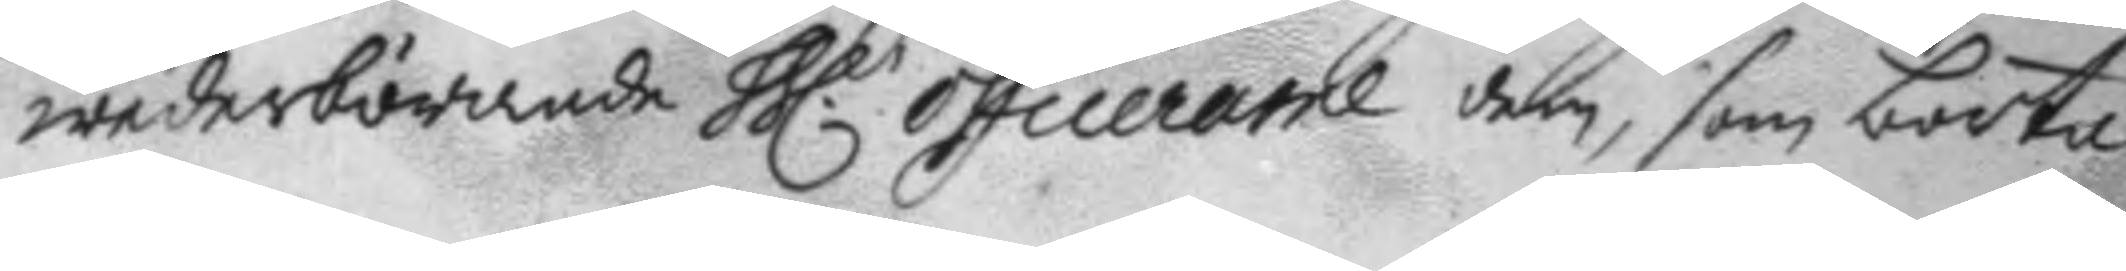wederbörande hh.r officerare dem, som borta
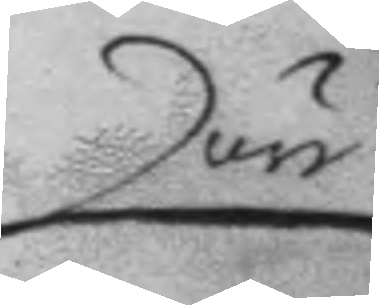äre
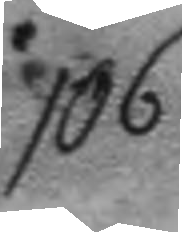106.
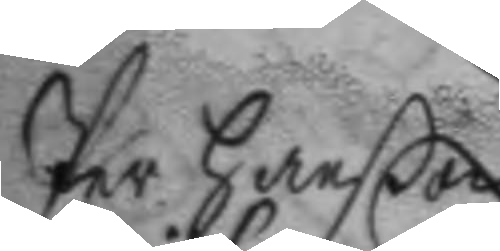Per Hanßon
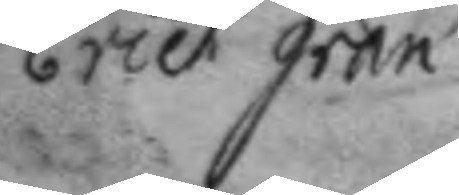Erich gran
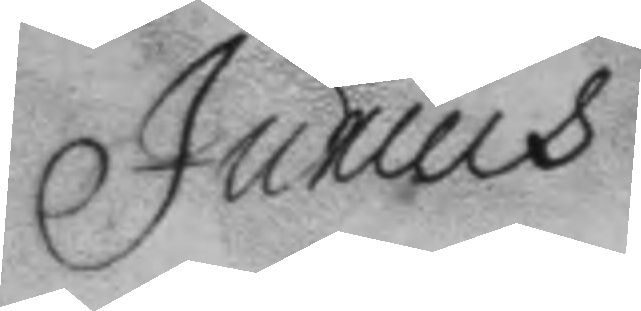Junius
